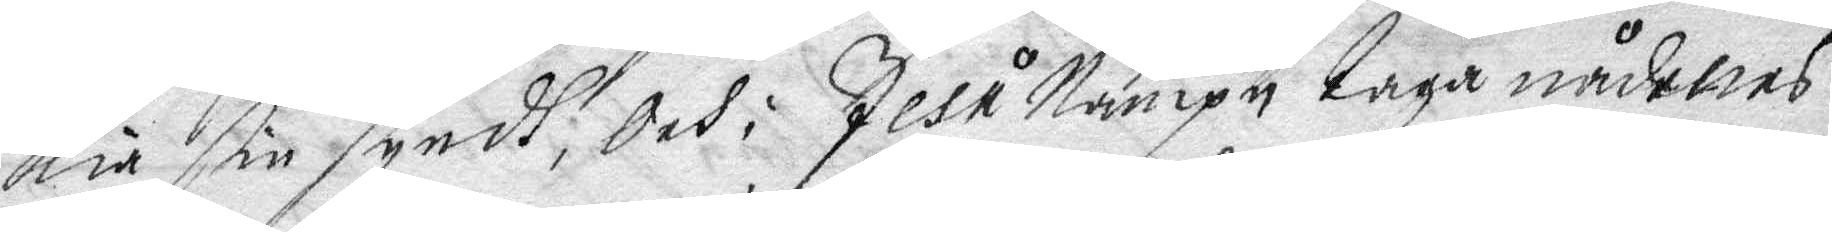kia sin syndh, Och: Jesu Nampn taga nådenes
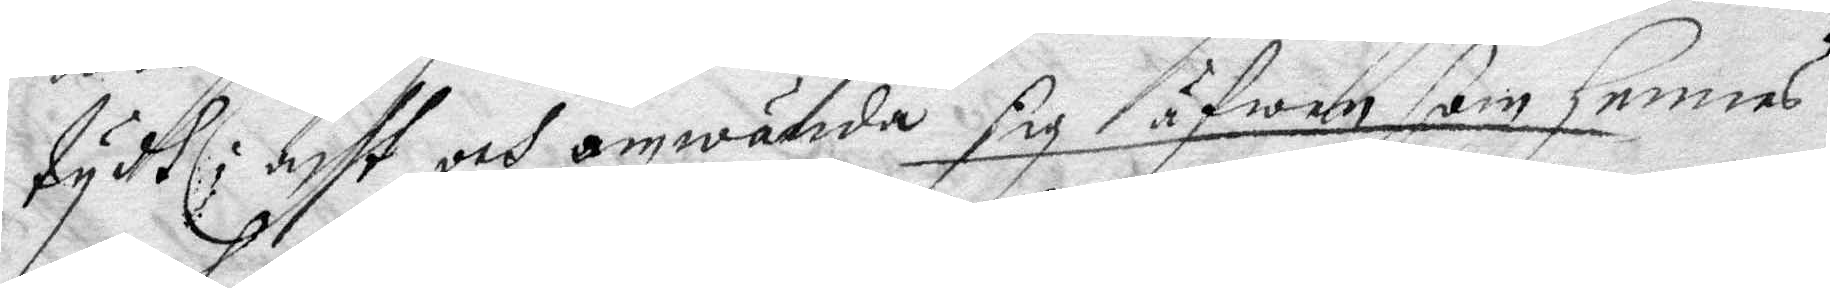tydh i acht och omwända sig äfwen som hennes
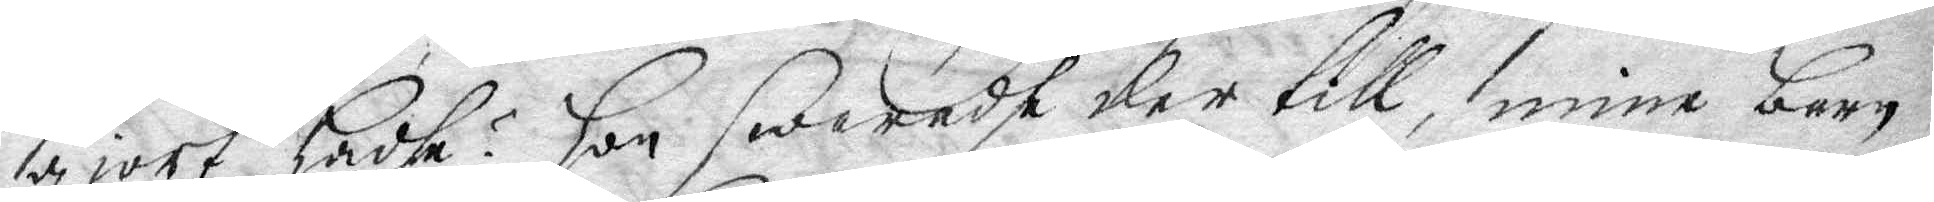giort hadhe? hon swarade der till, mine barn
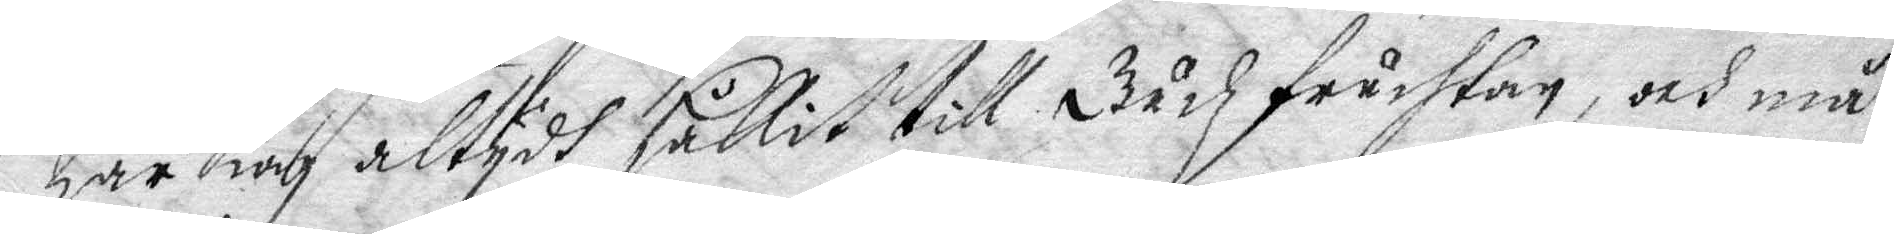har iag altydh hållit till Gudz fruchtan, och må
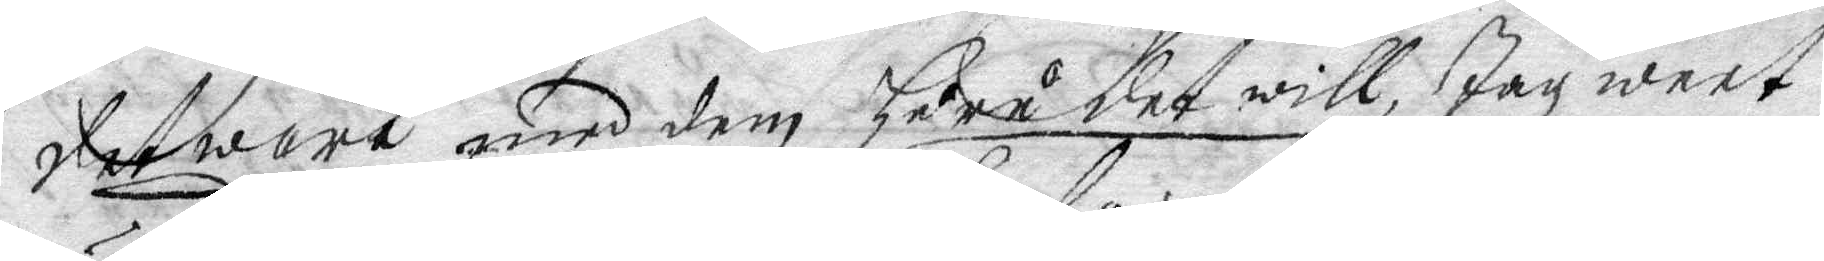det wara med dem huru det will, Jag weet
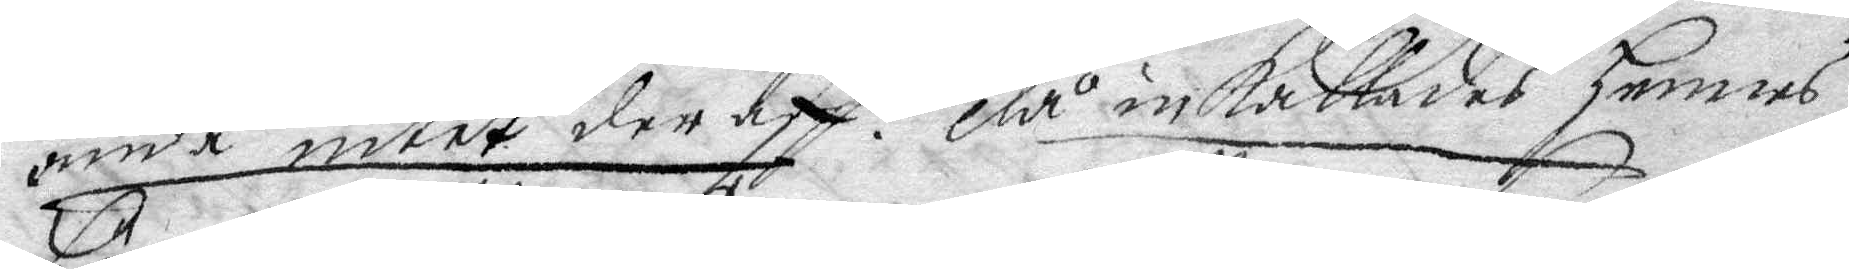ändå intet deraff. då inkallades hennes
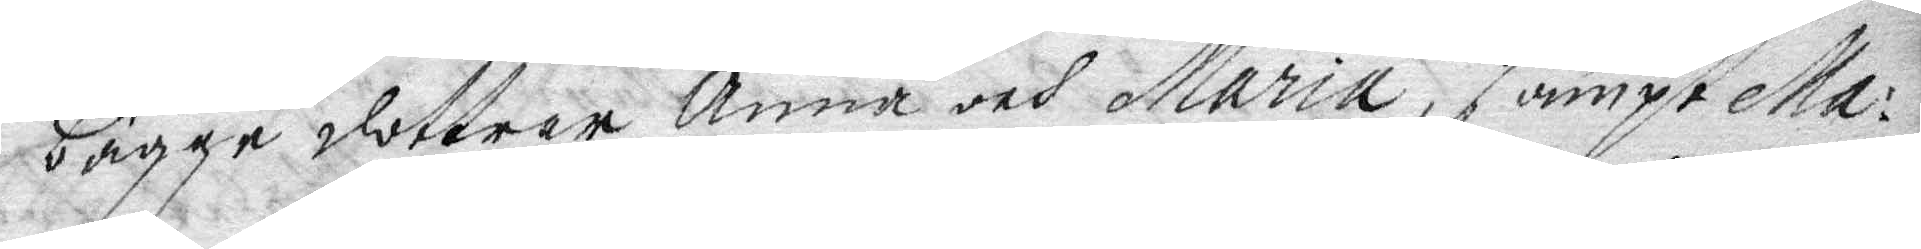bägge dottrar Anna och Maria, sampt Ma¬
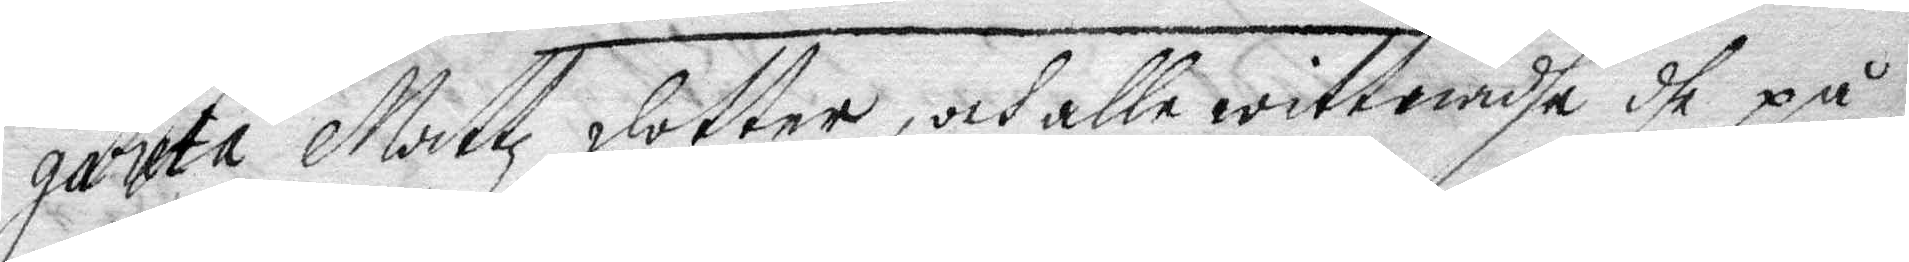gareta Mattz dotter, och alle wittnadhe dhe på
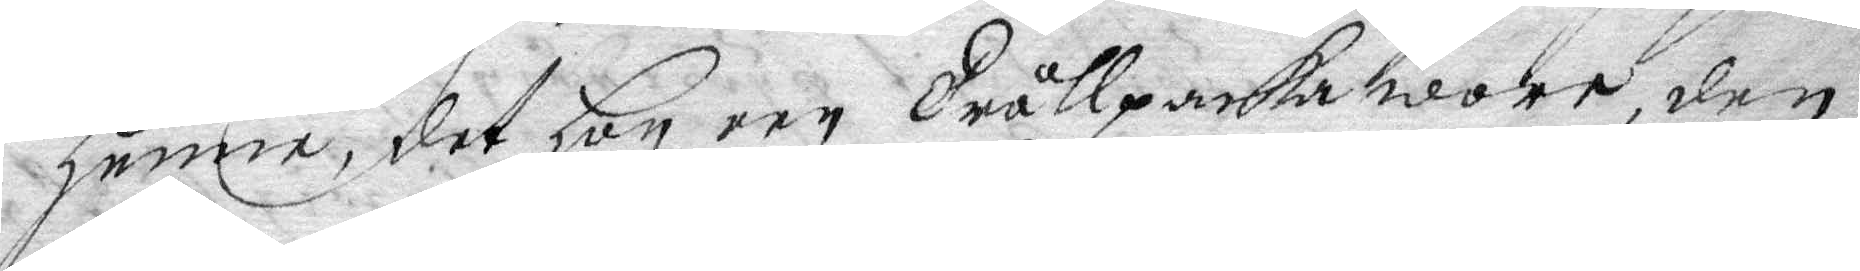henne, det hon een Trållpacka wore, den
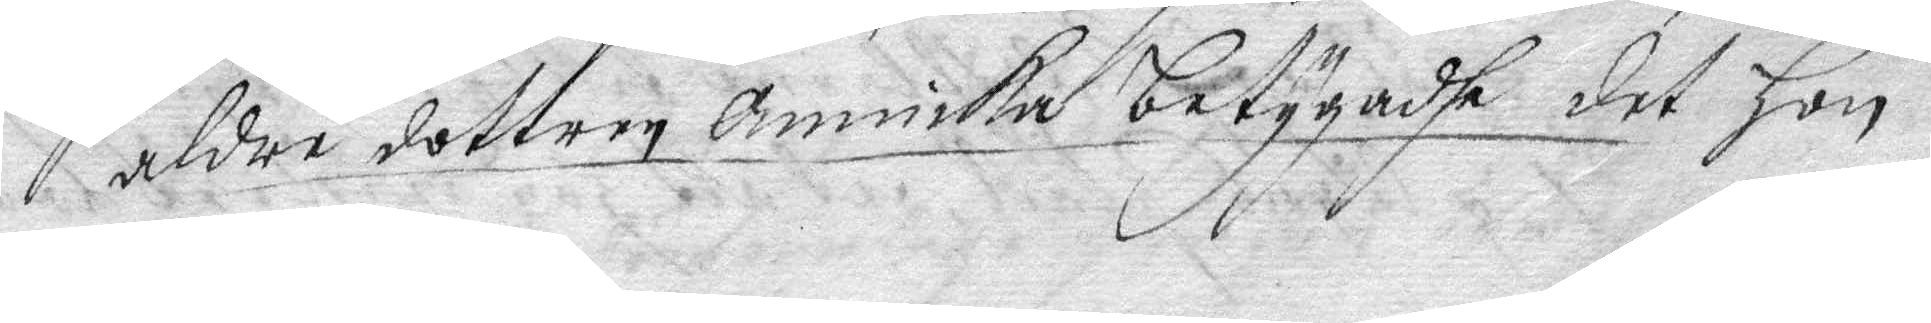aldre dottren Annika betygadhe det hon
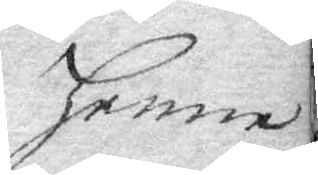henne
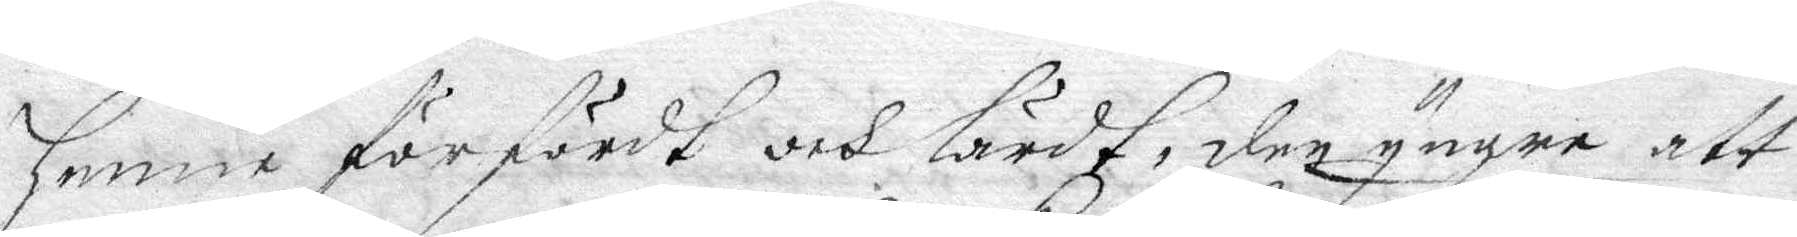henne förfördt och lärdt, den yngre att
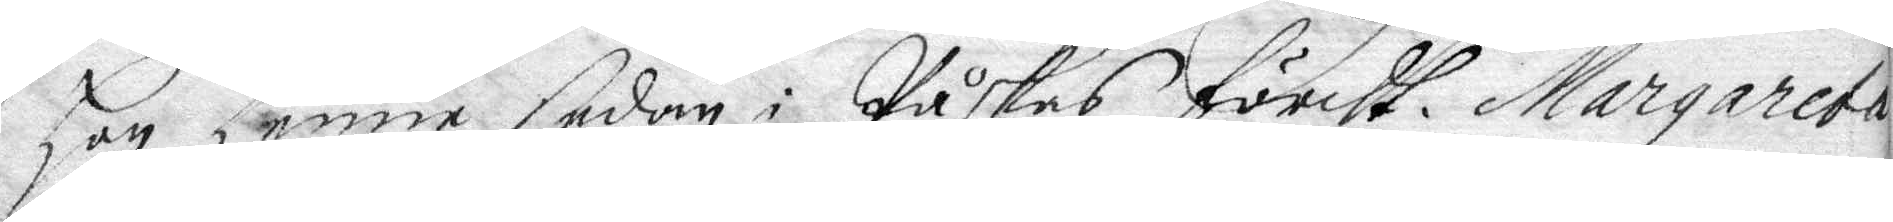hon henne sedan i Påskas fördt Margareta
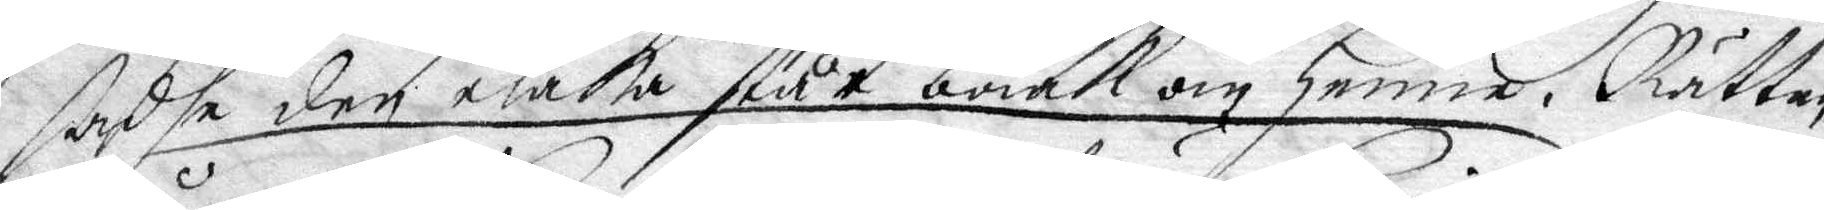sadhe den elaka står bakom henne. Rätten
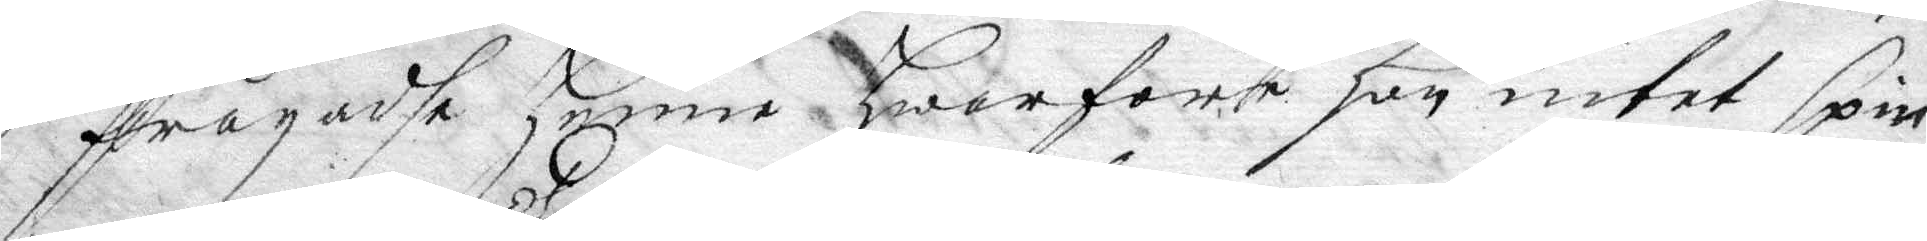frågadhe henne hwar före hon intet spin¬
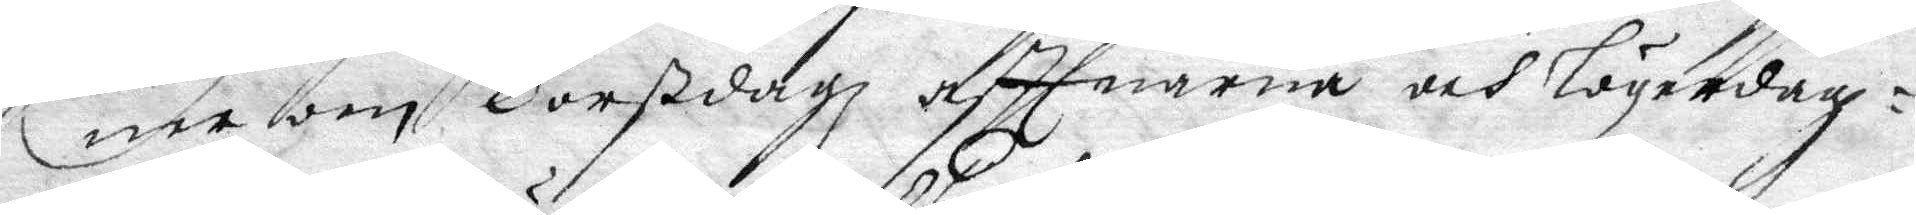ner om Torßdagz afttnarna och lögerdag¬
